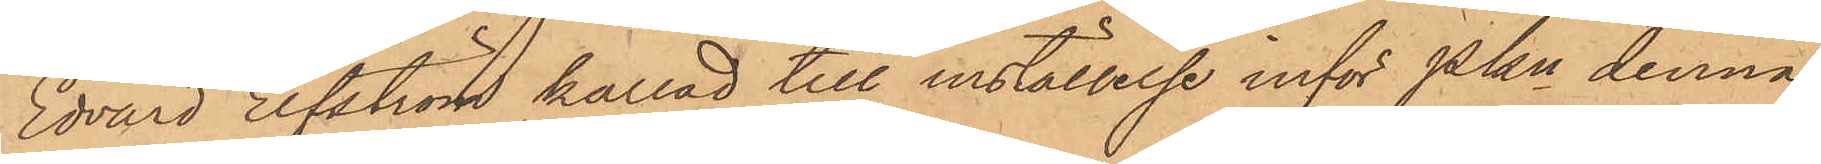Edvard Elfström kallad till inställelse inför Pkn denna
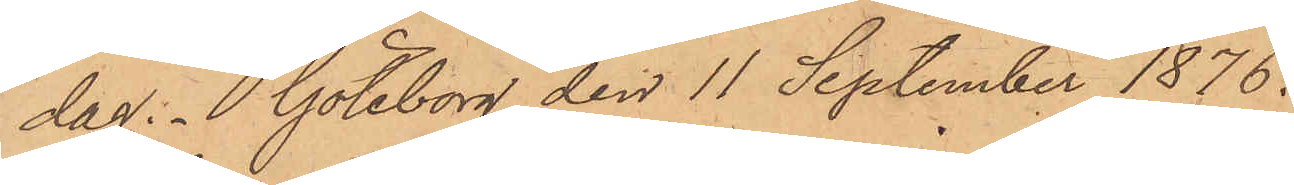dag. Göteborg den 11 September 1876.
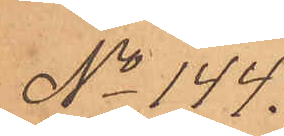No 144.
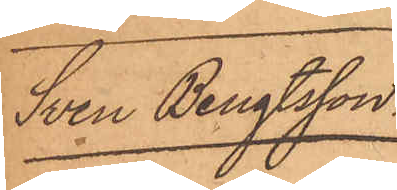Sven Bengtsson.
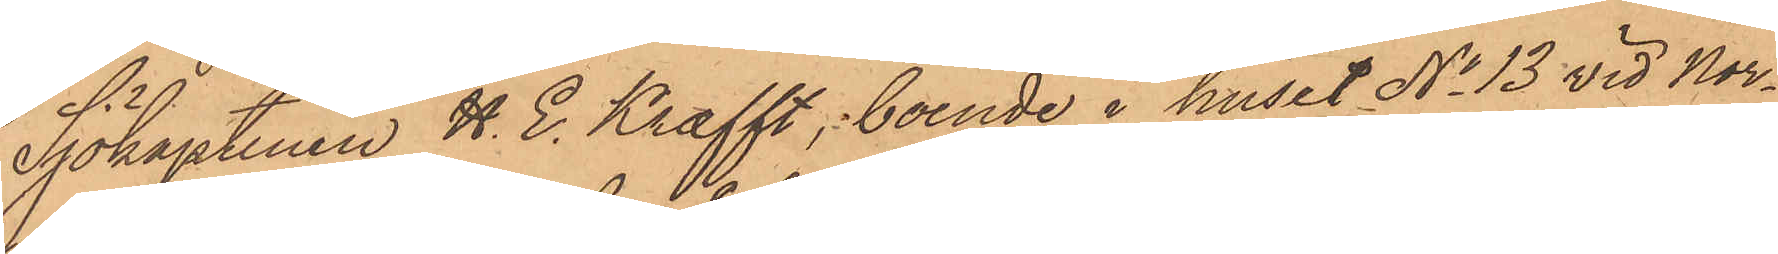Sjökaptenen H. E. Krafft, boende i huset No 13 vid Nor¬
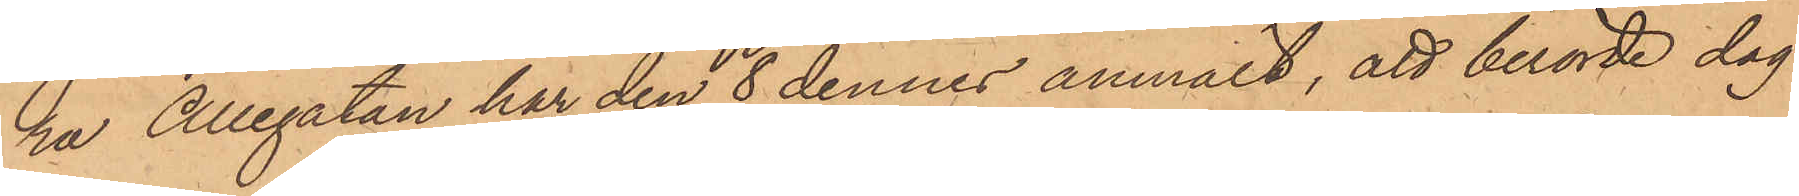ra Allégatan har den 8 dennes anmält, att berörde dag
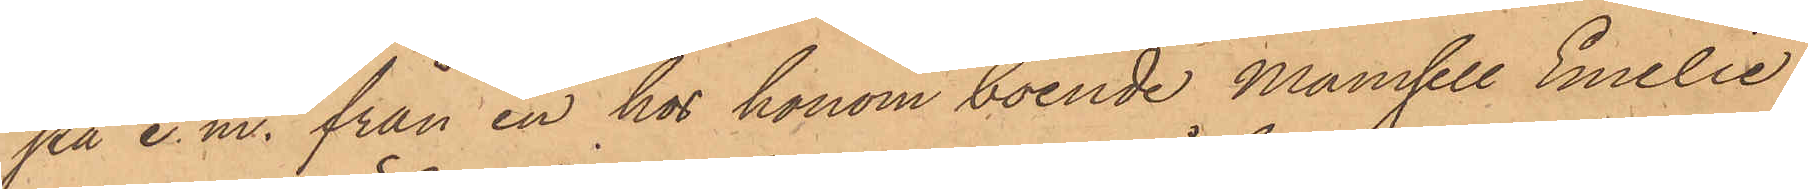på e. m. från en hos honom boende mamsell Emelie
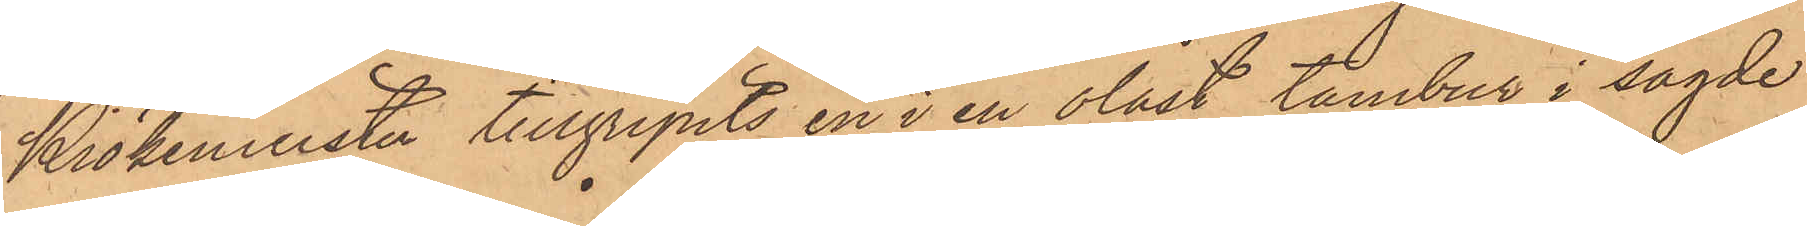Krökemeister tillgripits en i en olåst tambur i sagde
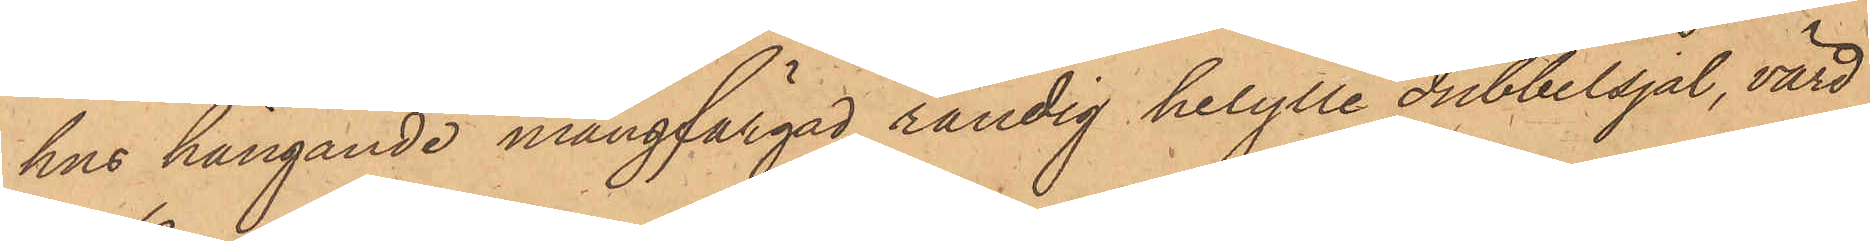hus hängande mångfärgad randig helylle dubbelsjal, värd
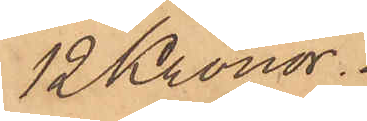12 Kronor.
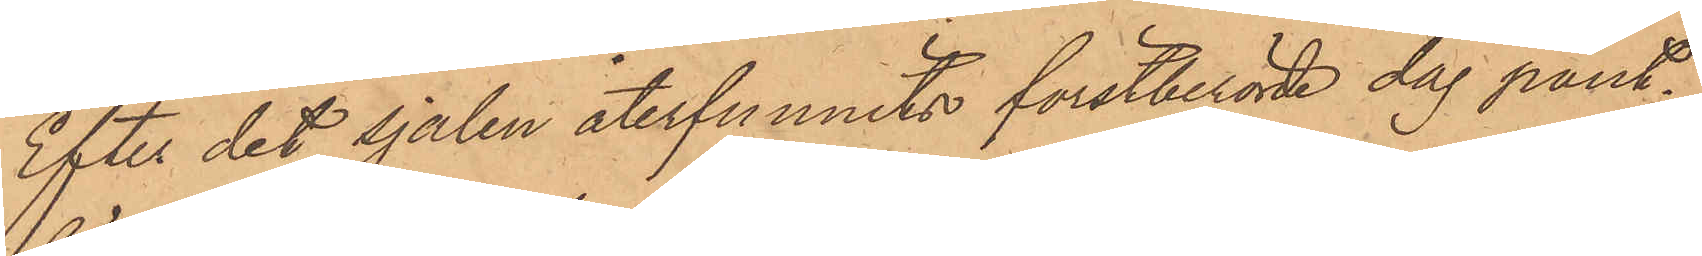Efter det sjalen återfunnits förstberörde dag pant¬
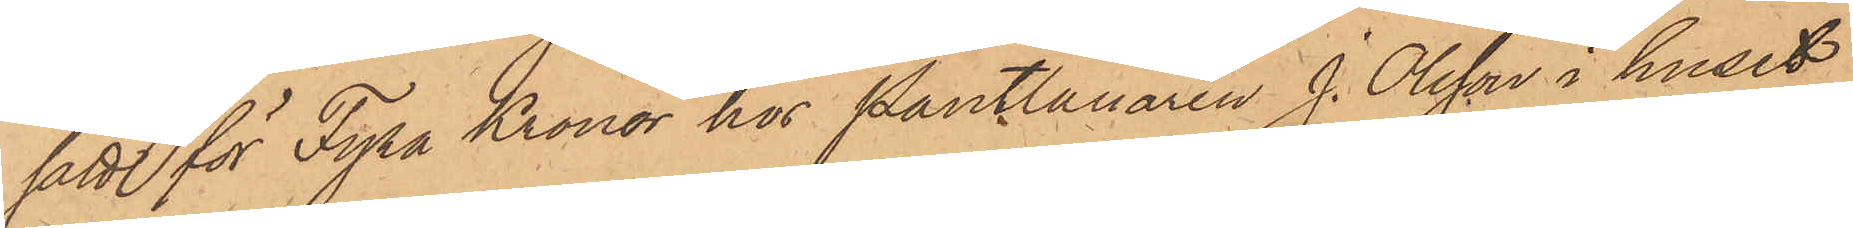satt för Fyra Kronor hos Pantlånaren J. Olsson i huset
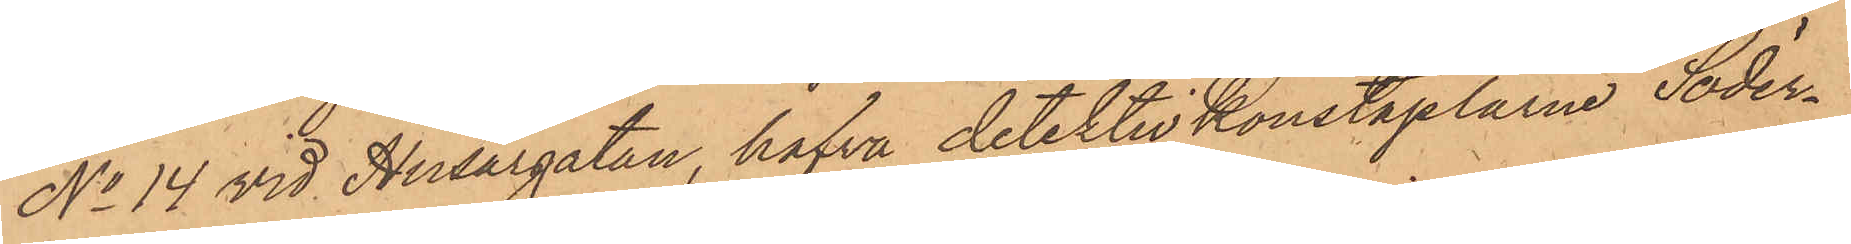No 14 vid Husargatan, hafva detektivkonstaplarne Söder¬
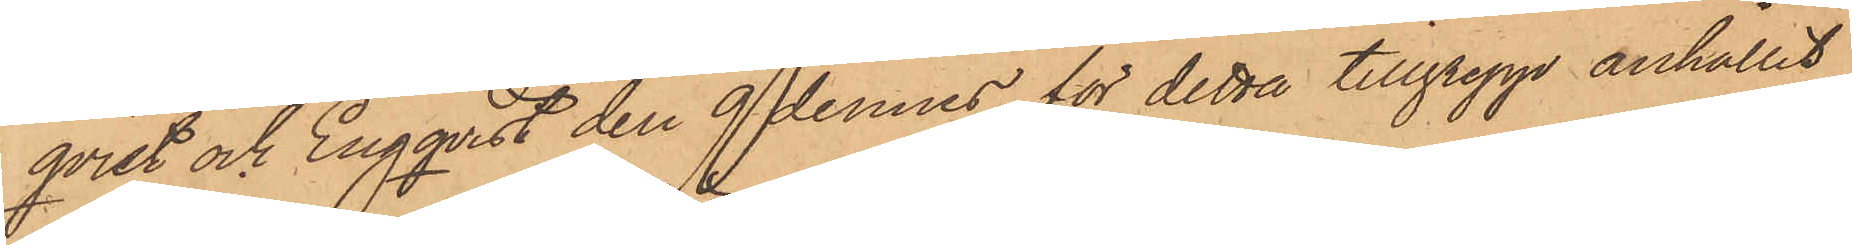qvist och Engqvist den 9 dennes för detta tillgrepp anhållit
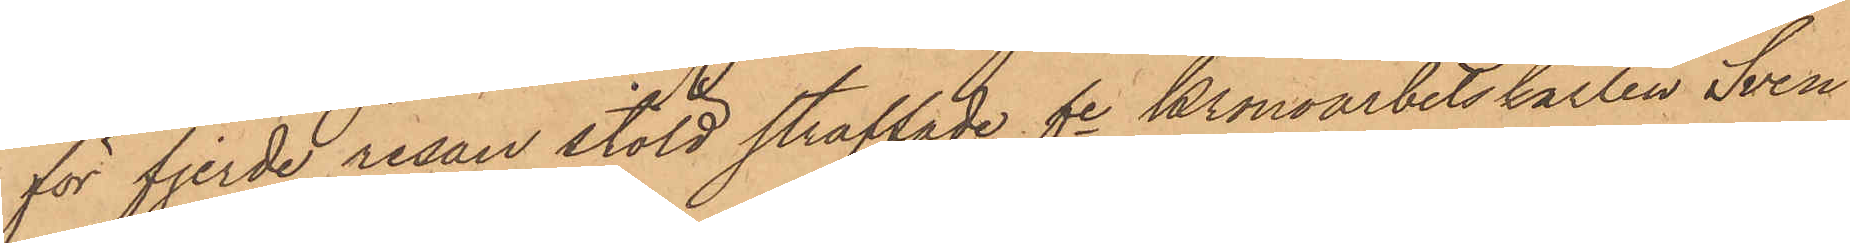för fjerde resan stöld straffade fre Kronoarbetskarlen Sven
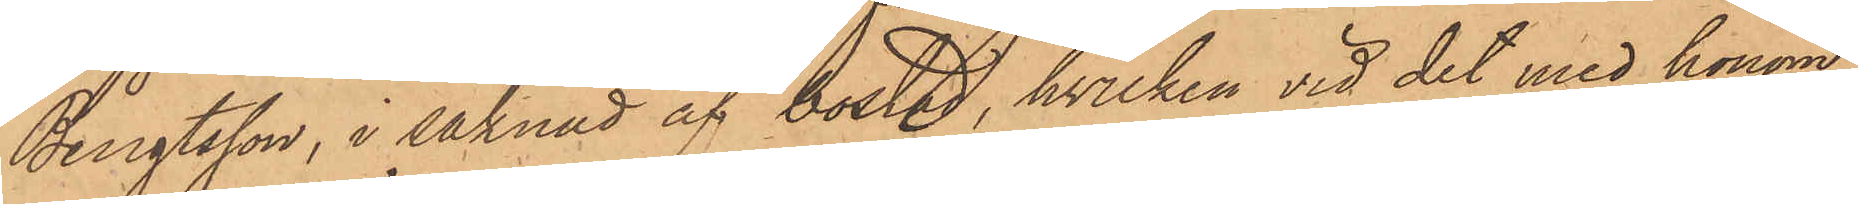Bengtsson, i saknad af bostad, hvilken vid det med honom
